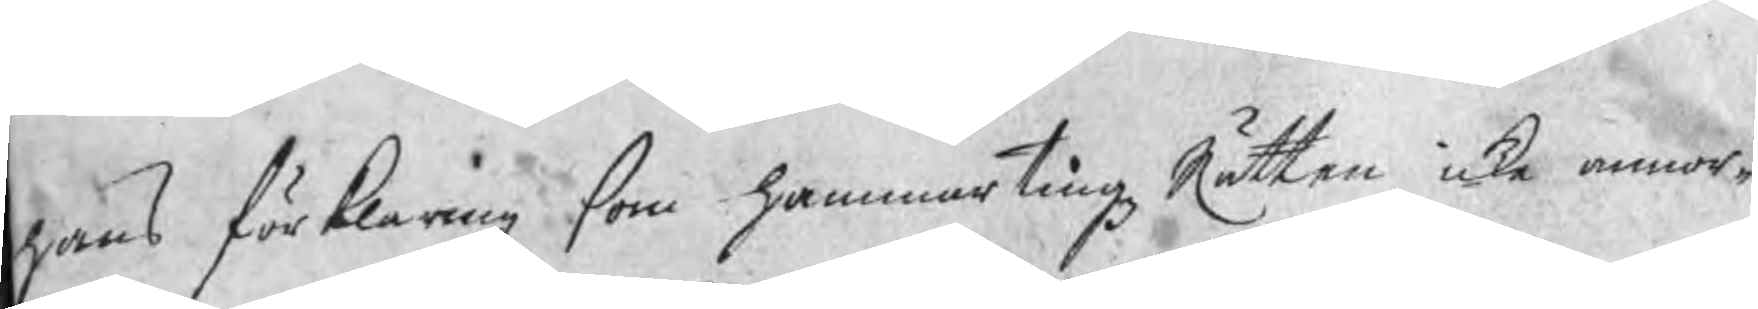hans förklaring som hammartingzRätten icke annor¬
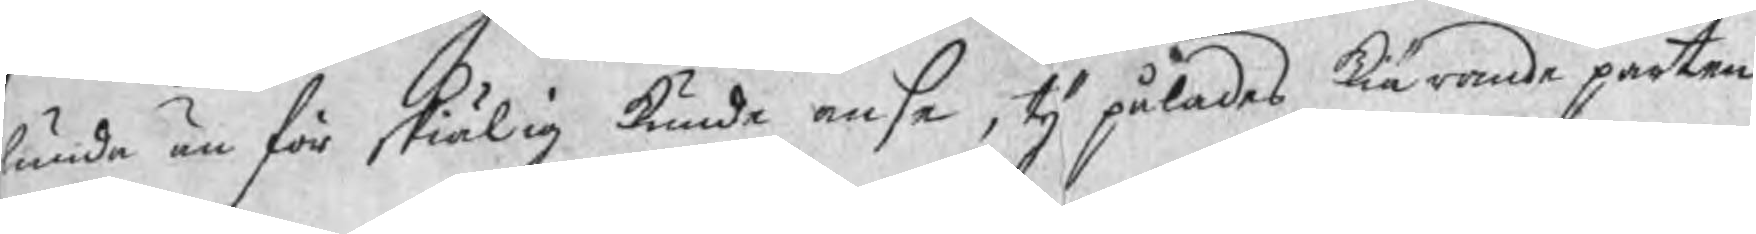lunda än för skiälig kunde anse, ty pålades kiärande parten
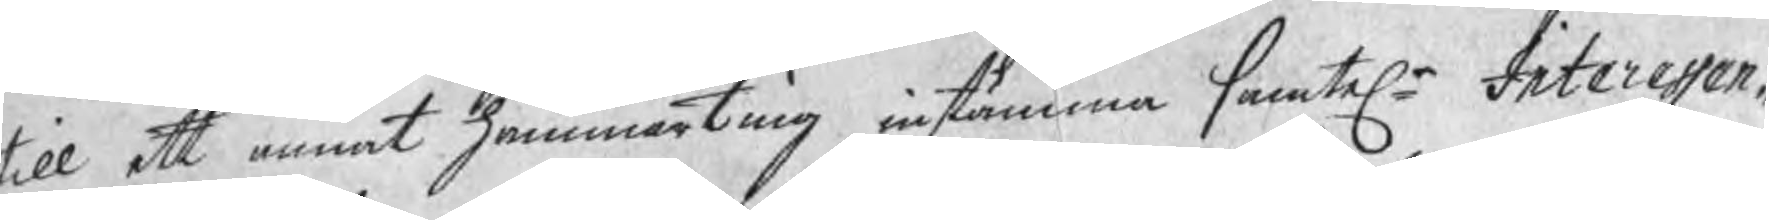till ett annat hammarting instämma samtele Interessen¬
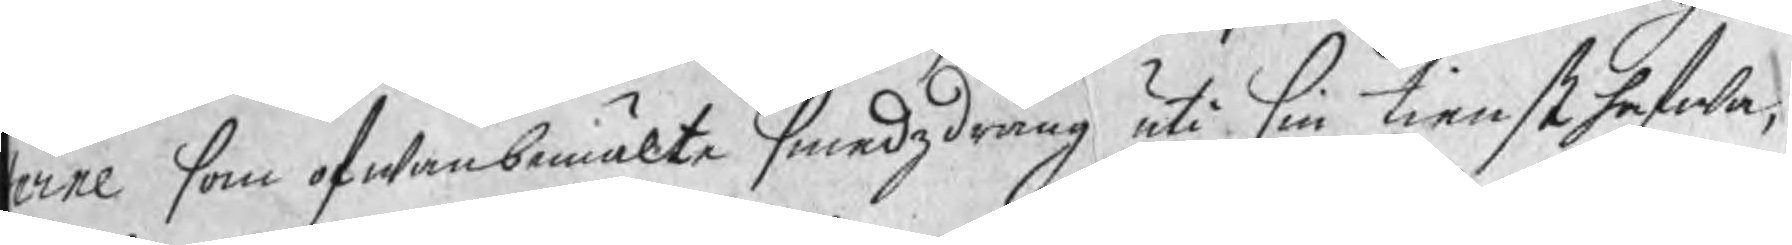terne som ofwanbemälte smedzdräng uti sin tienst hafwa,
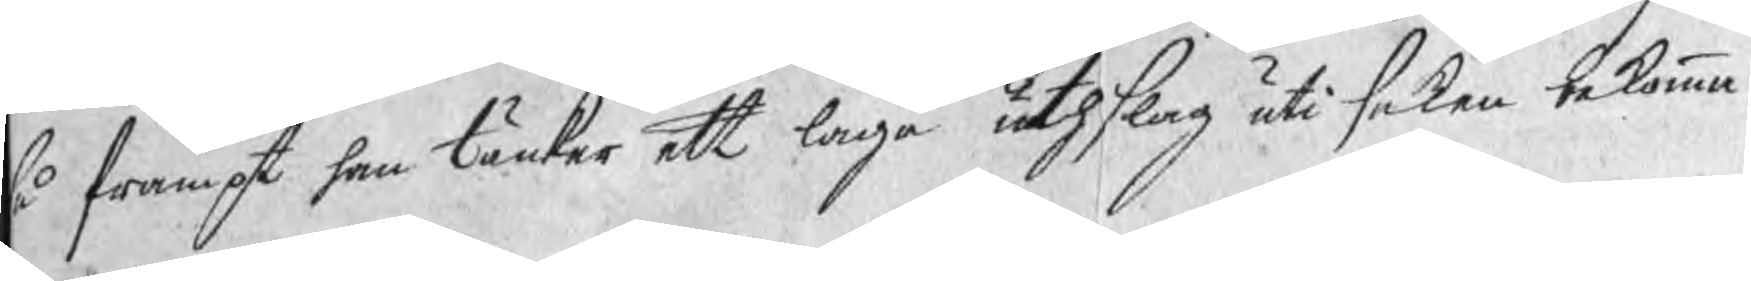så frampt han tänker ett laga uthslag uti saken bekomma.
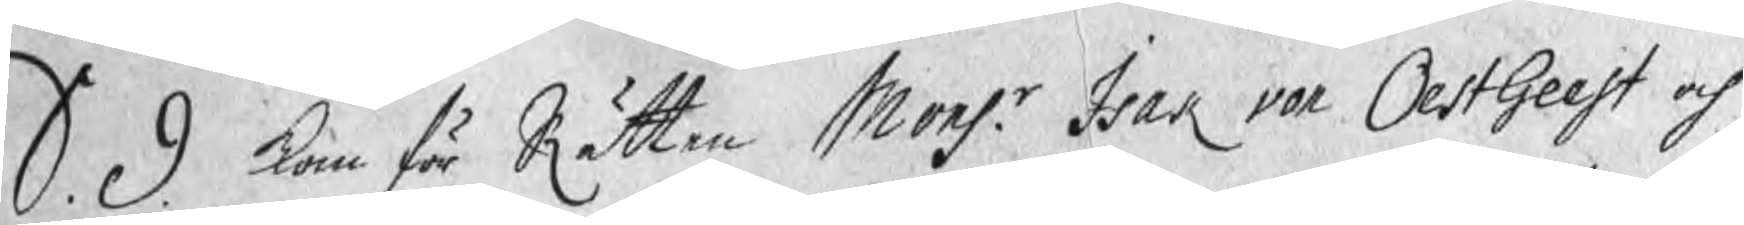S. D. kom för Rätten Monsr. Isak von OestGeest och
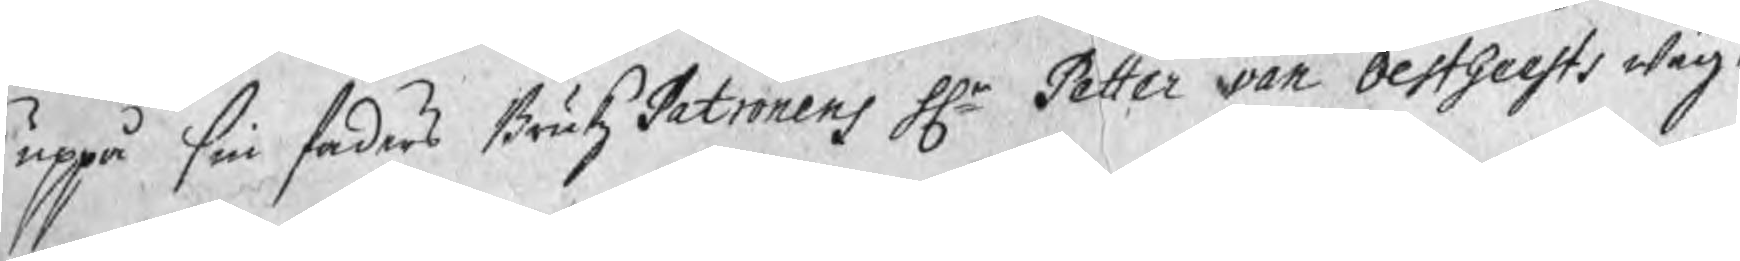uppå sin faders BrukzPatronens Hr Petter von OestGeests wäg¬
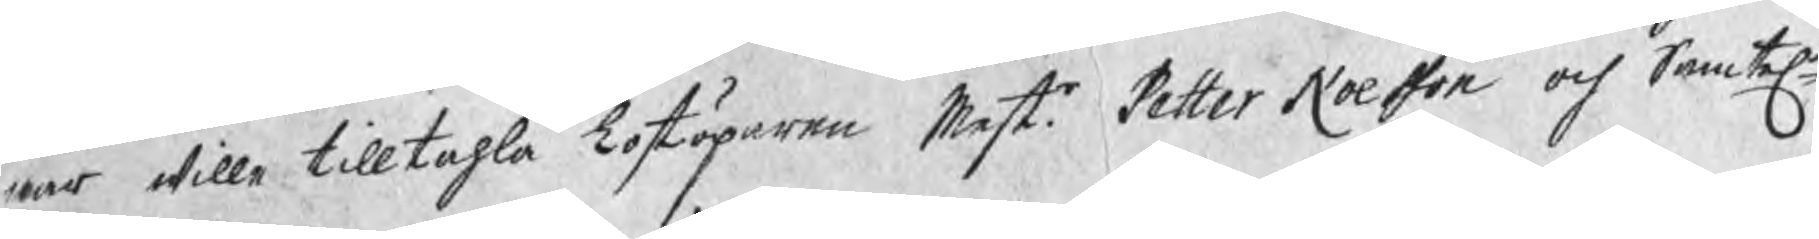nar wille tilltahla Lostöparen Mestr Petter Noesson coh Samtele
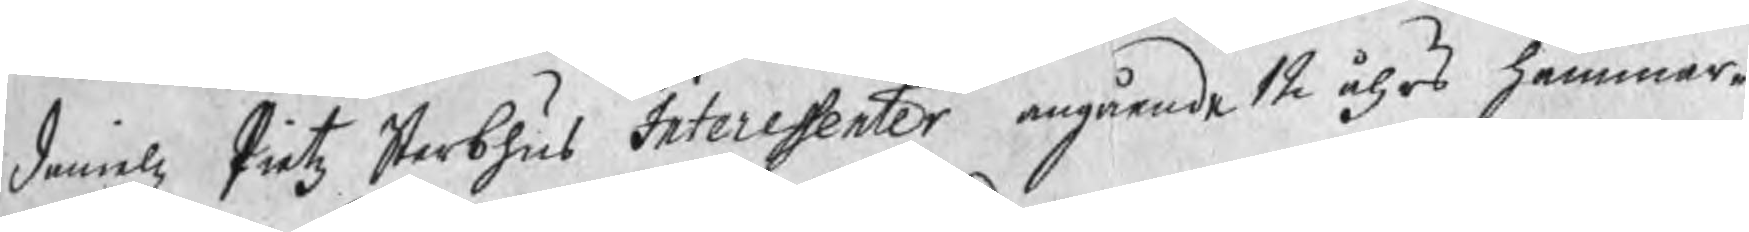Danielz Pietz Sterbhus Interessenter angående 12 åhrs hammar¬
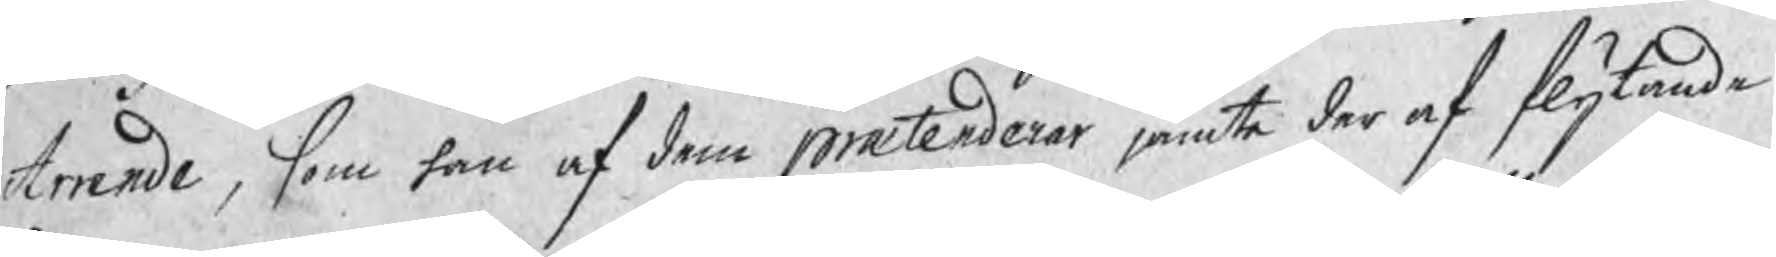Arrende, som han af dem prætenderar jämte der af flytande
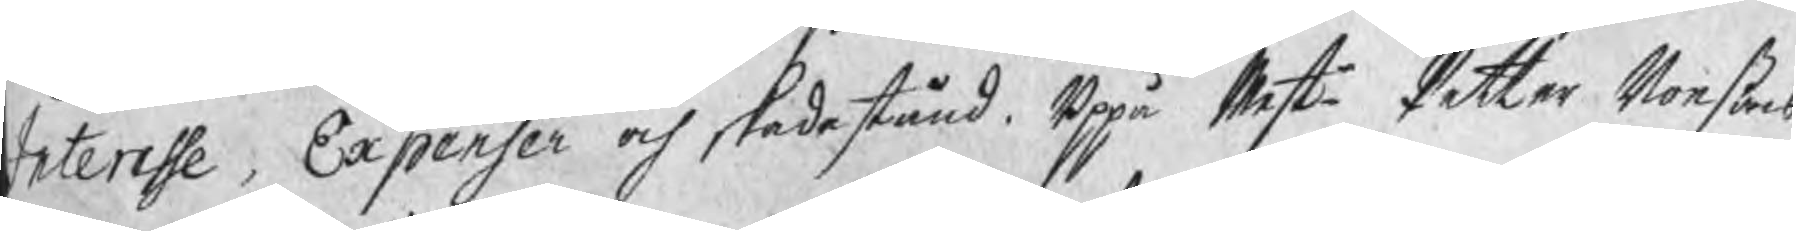Interesse, Expenser och skadestånd. Uppå Mester Petter Noeßons
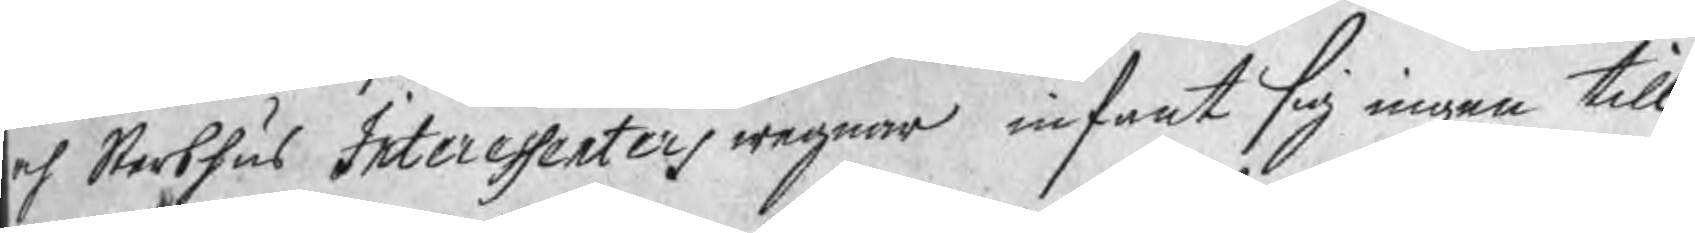och Sterbhus Interessenters wegnar infant sig ingen till
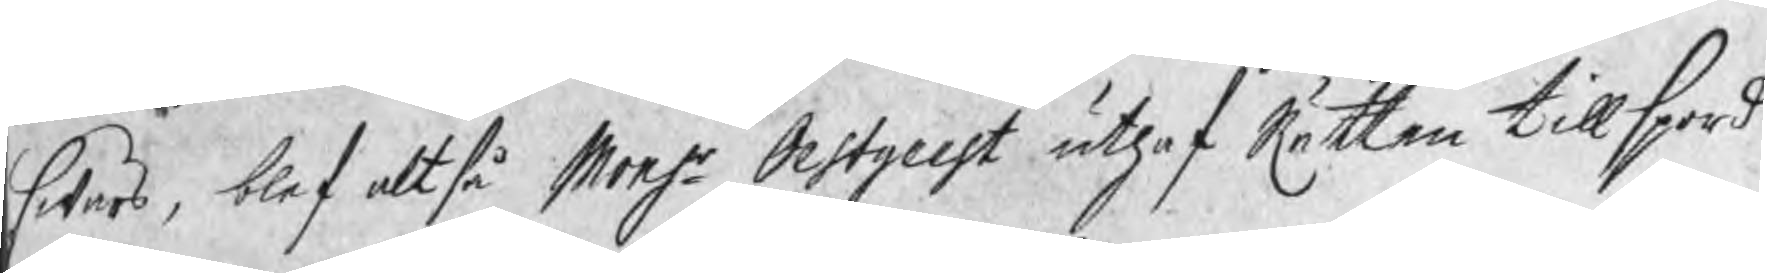swars, blef altså Monsr Oestgeest uthaf Rätten tillspord
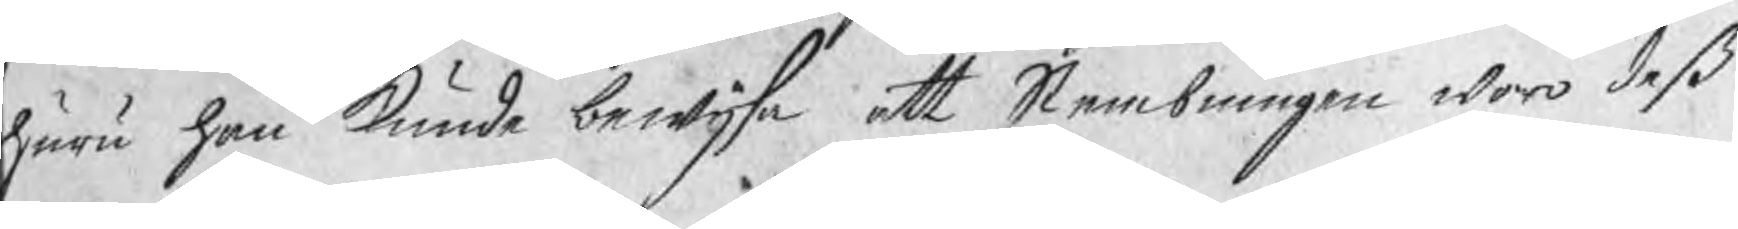huru han kunde bewijsa att Stembningen woro deß
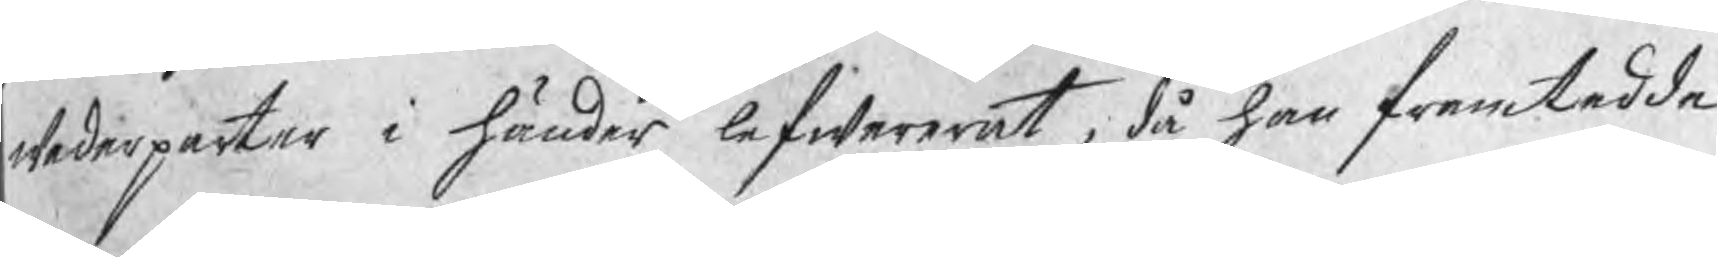wederparter i händer lefwererat, då han framtedde
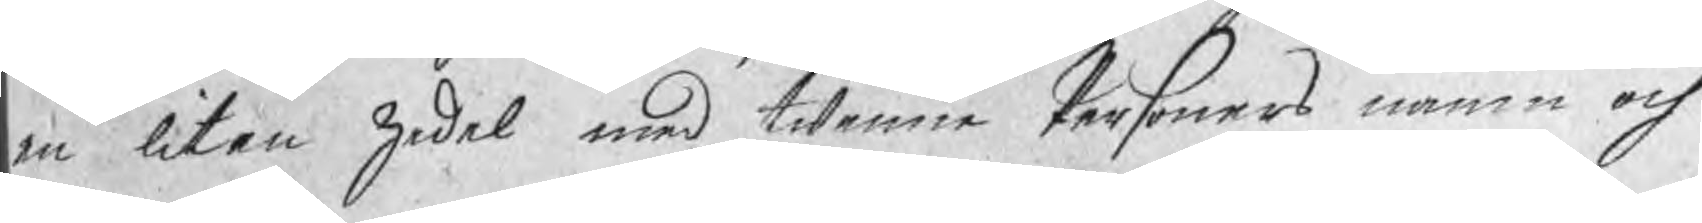en liten zedel med twenne Personers namn och
